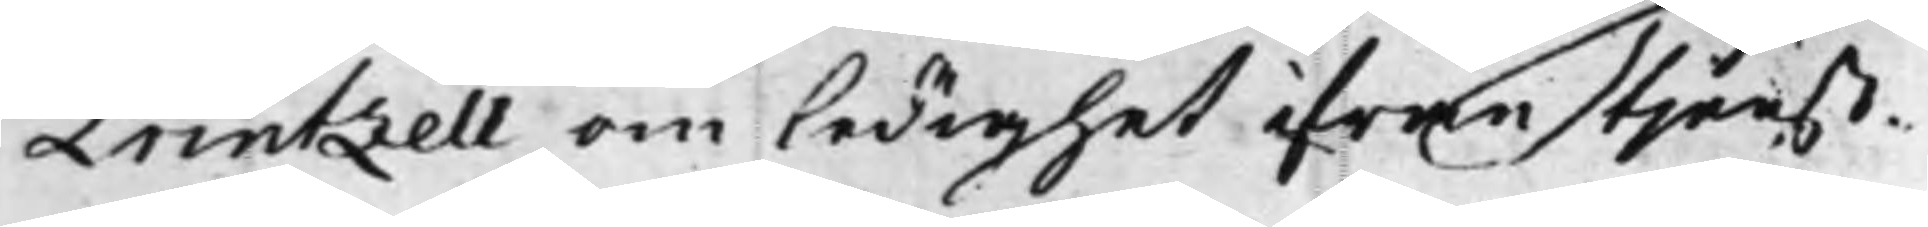Printzell om ledighet ifrån tjenst¬
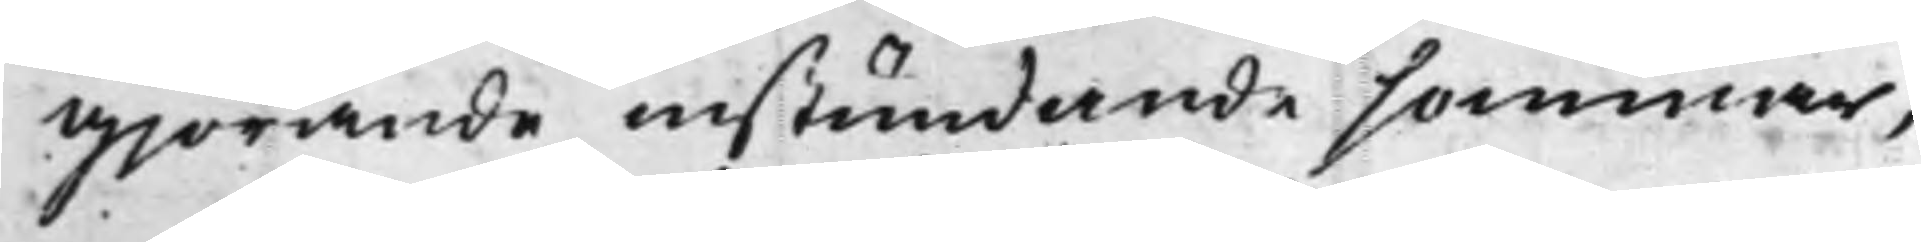Gjörande instundande sommar,
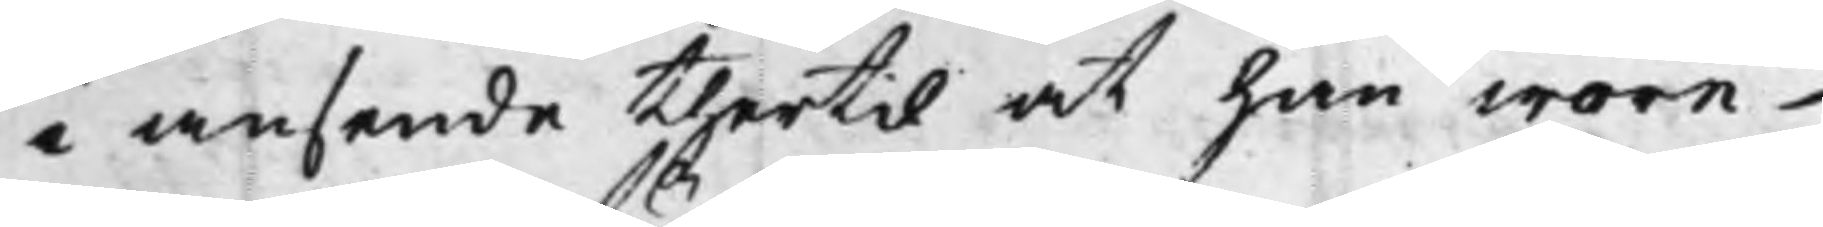i ansende thertil at han wore
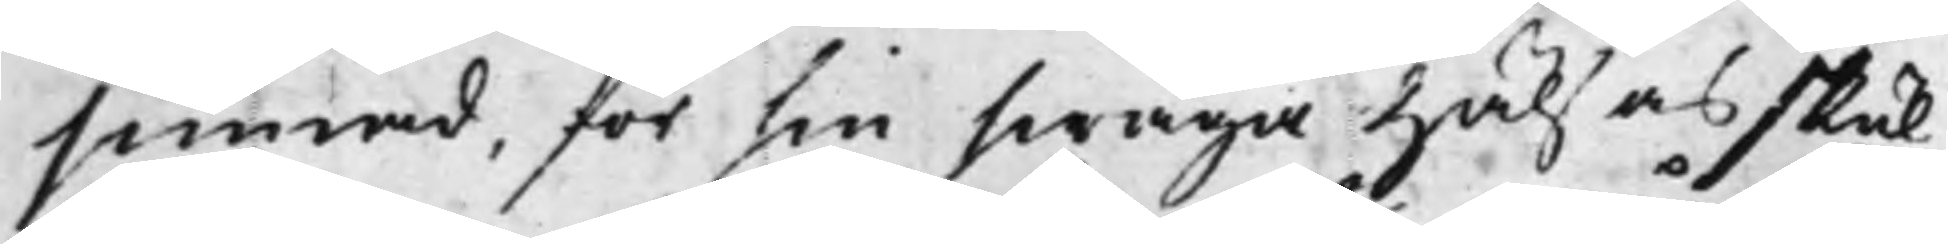sinnad, för sin swaga Hälsas skul,
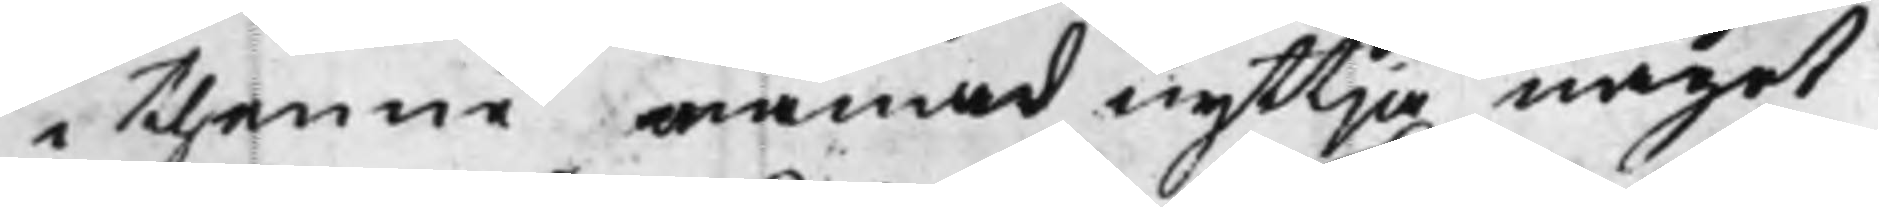i thenne månad nyttja något
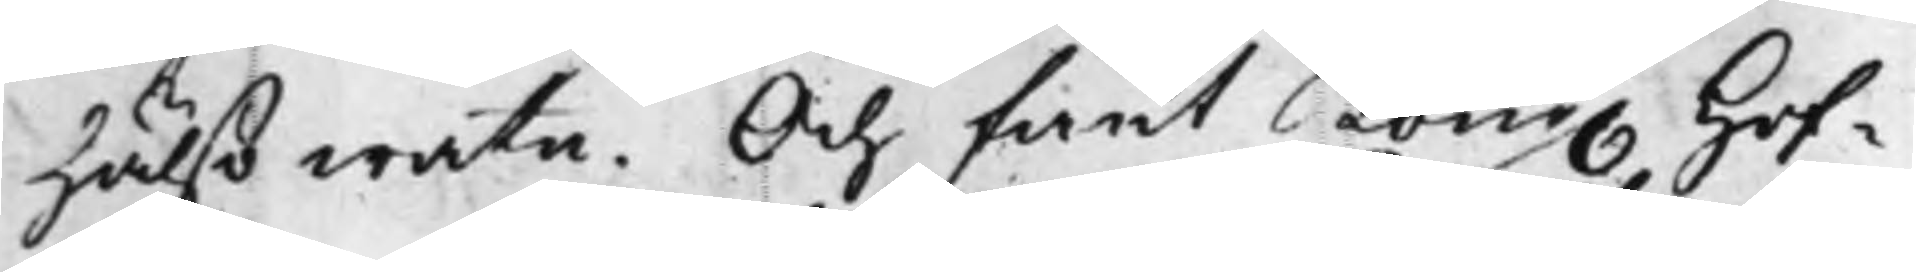hälso watn. Och fant Kong. Hof¬
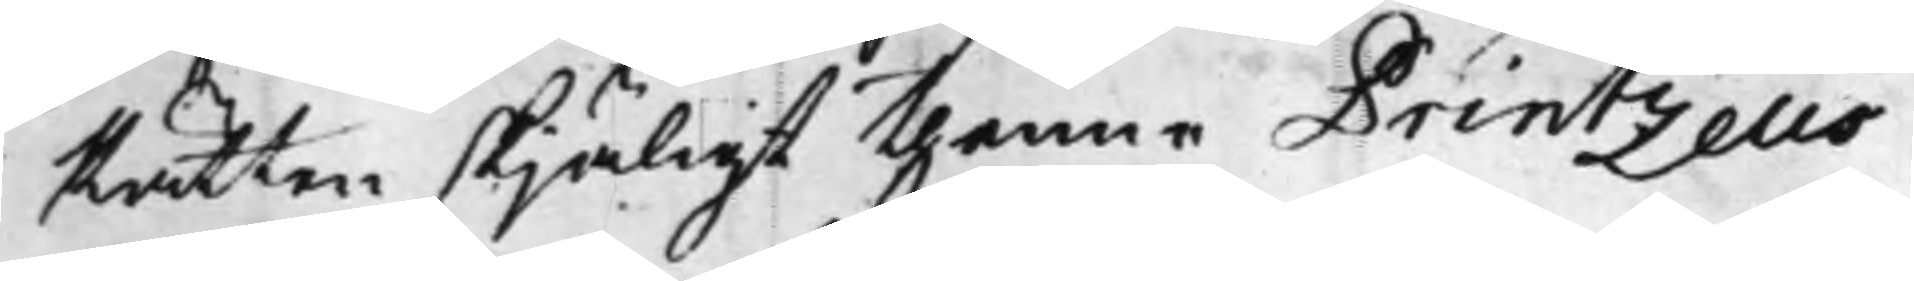Rätten skjäligt thenne Printzells
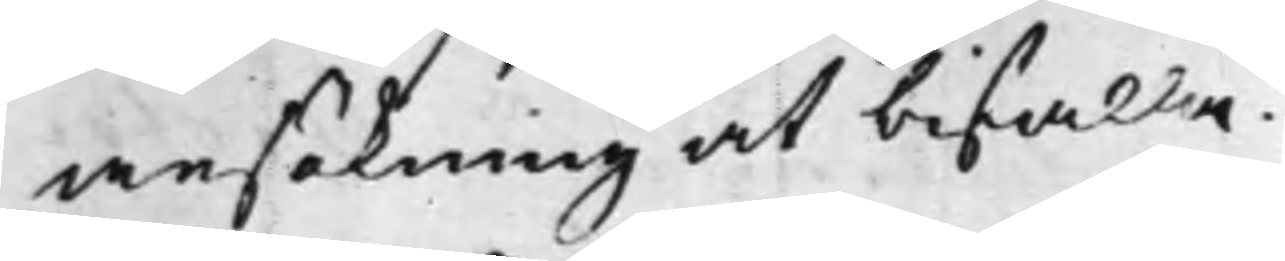ansökning at bifalla.
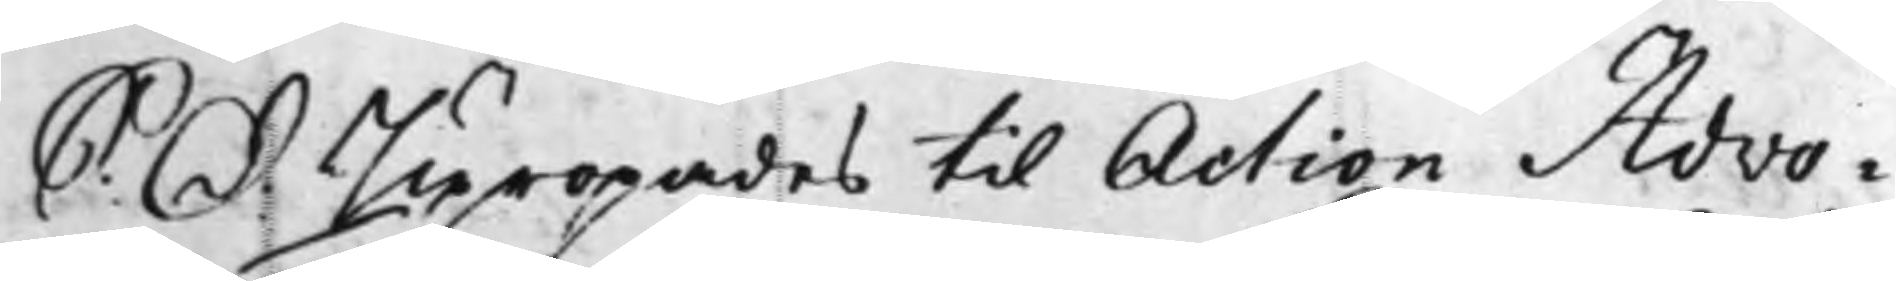S: d: Upropades til Action Advo¬
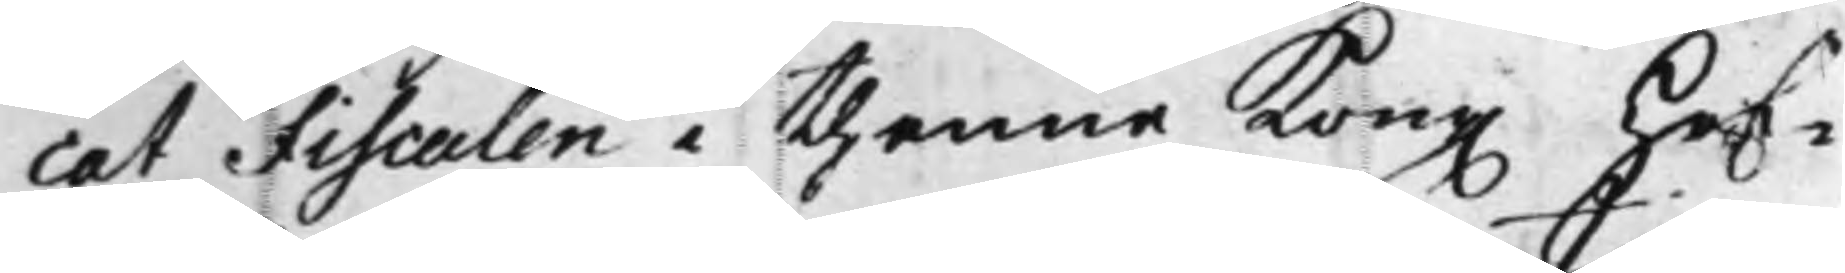cat Fiscalen i thenne Kong. Hof¬
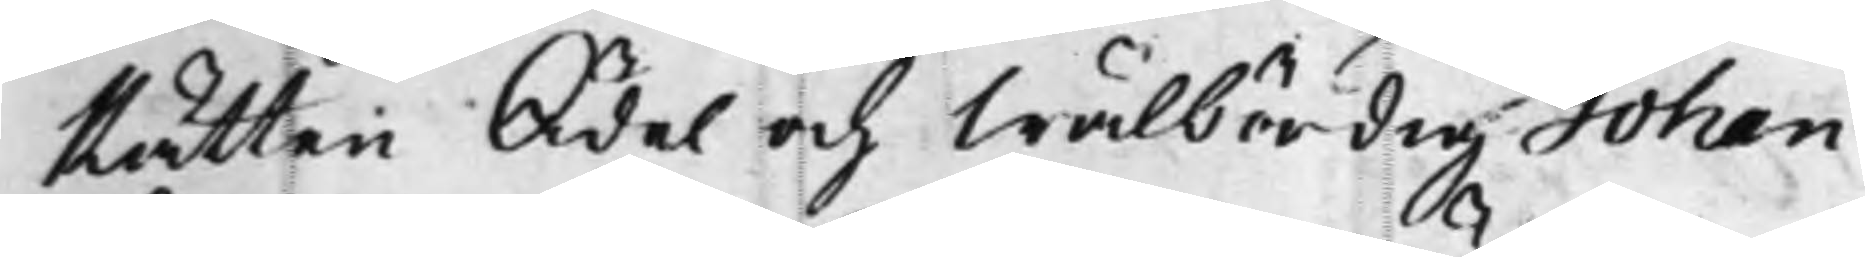Rätten Ädel och Wälbördig Johan
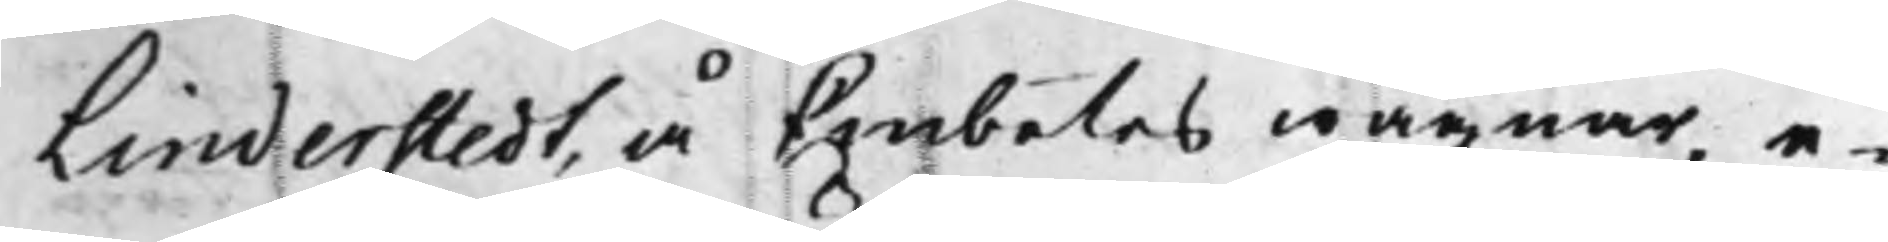Linderstedt, å Embetes wägnar, e¬
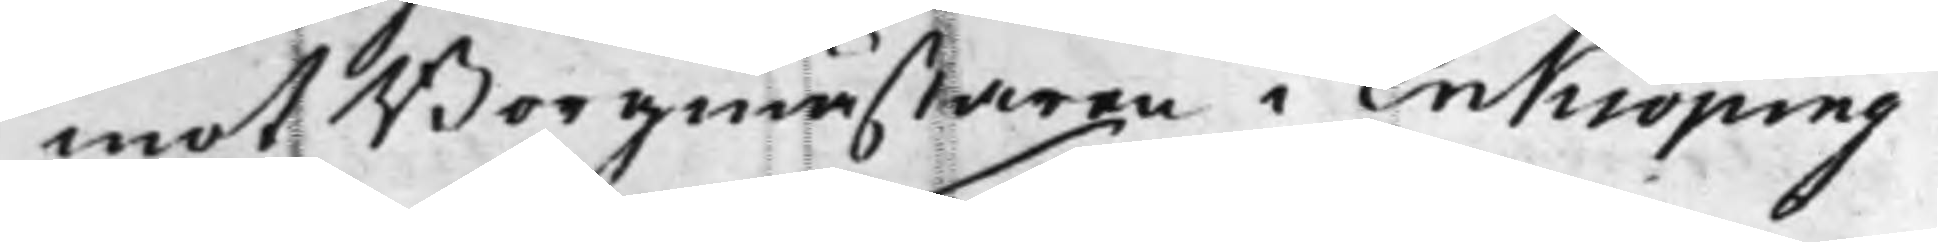mot Borgmästaren i Enkiöping
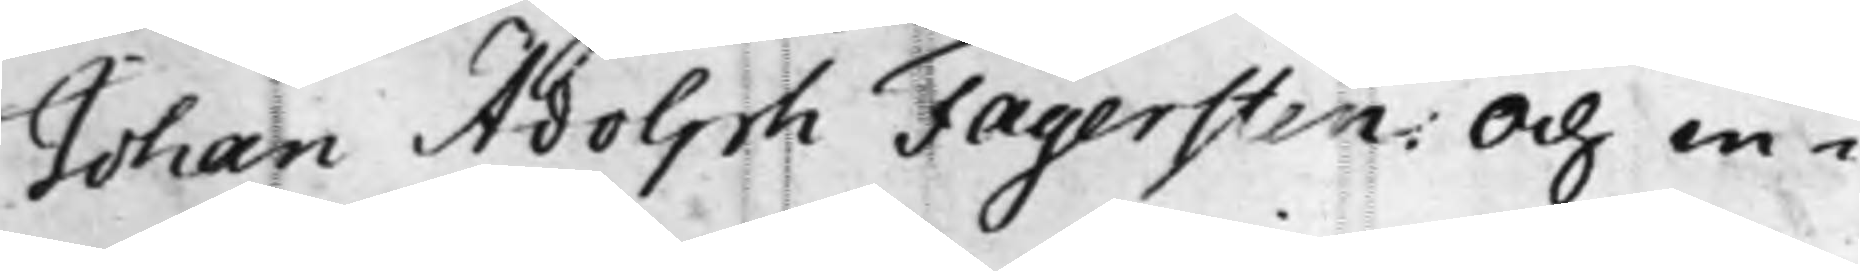Johan Adolph Fägersten. Och in¬
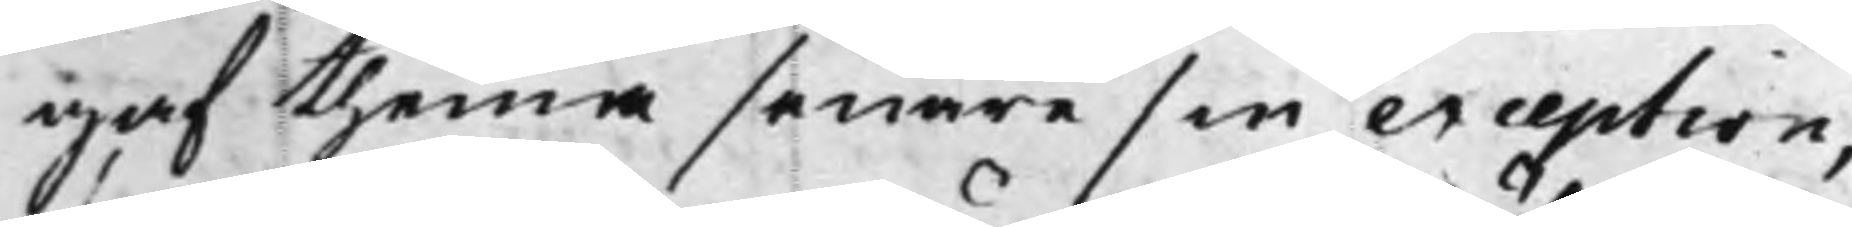gaf thenna senare sin exception,
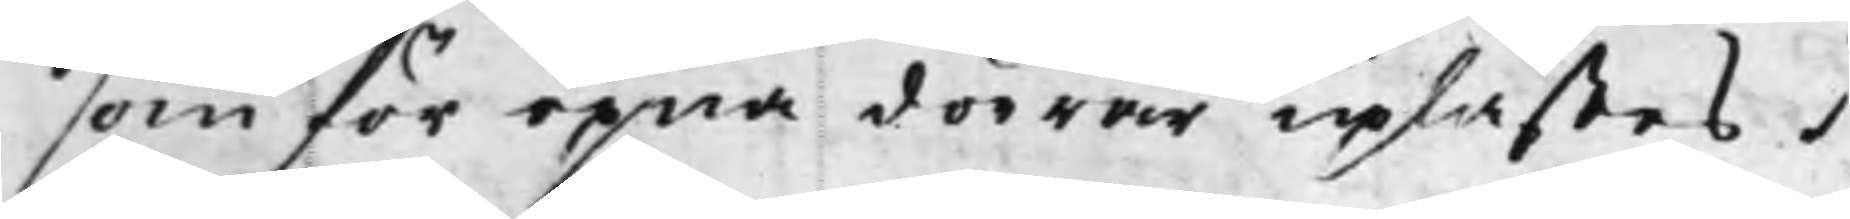som för öpna dörrar uplästes.
